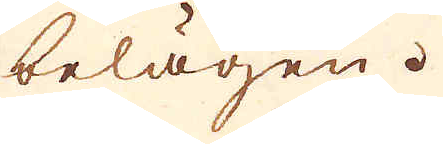belägen.
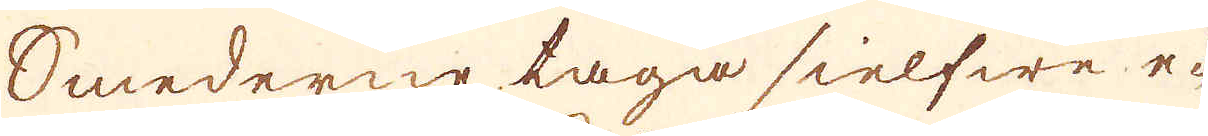Smederne taga sielfwe e-
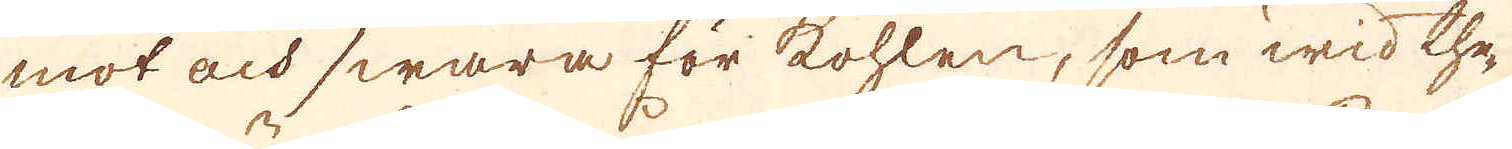mot och swara för kohlen, som wid the-
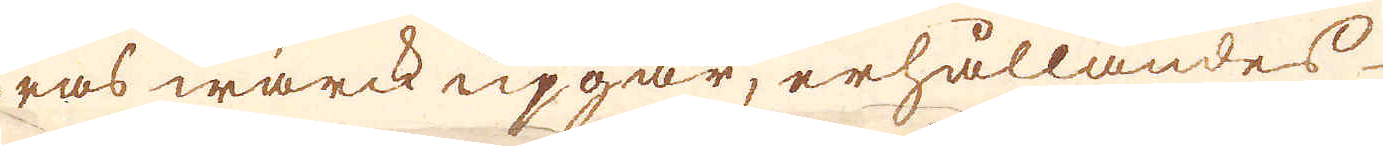ras wärck upgår, erhållandes
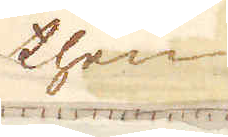then-
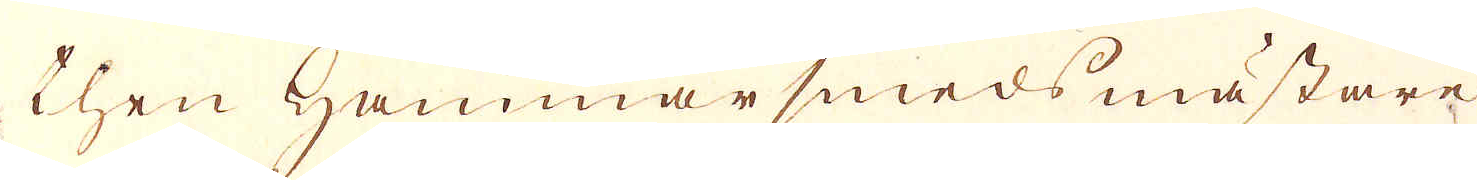then Hammar smeds mästare
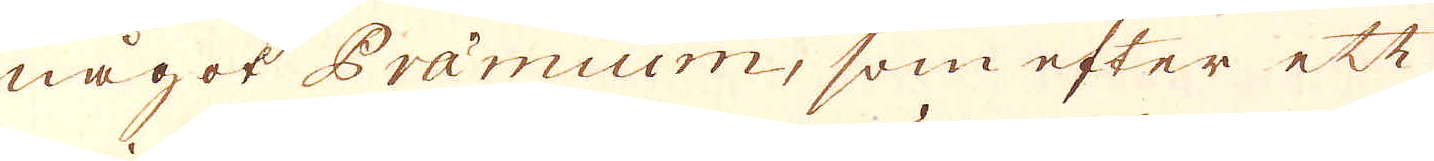något Præmium, som efter ett
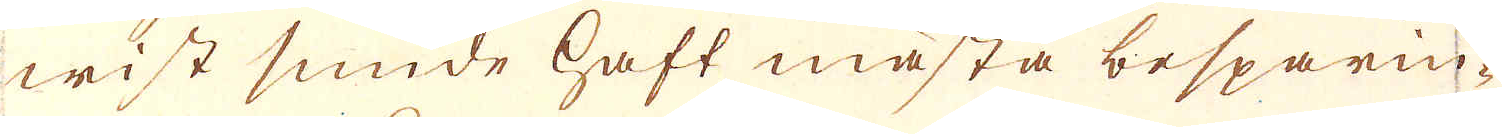wist smide haft mästa besparin-
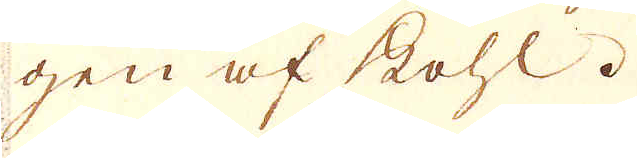gen af kohl.
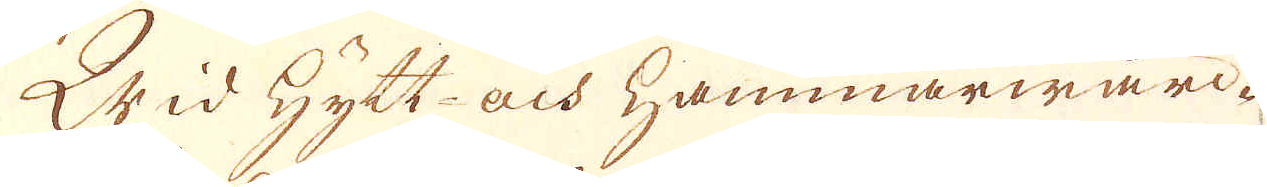Wid Hytt- och hammarwärc-
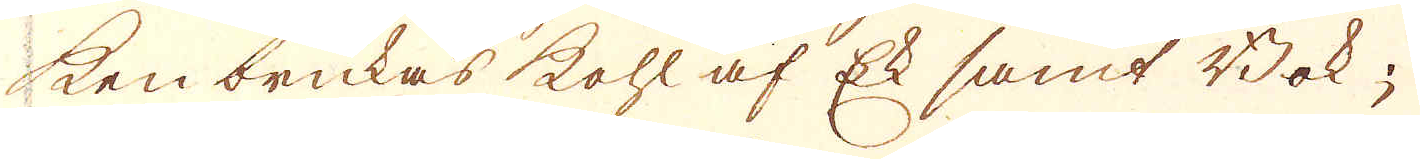ken brukas kohl af Ek samt Bok;
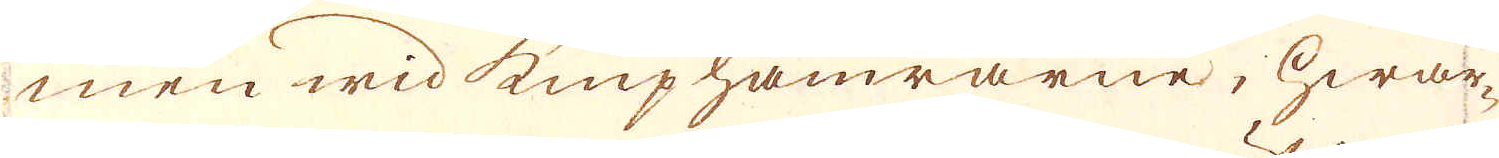men wid kniphamrarne, hwar-
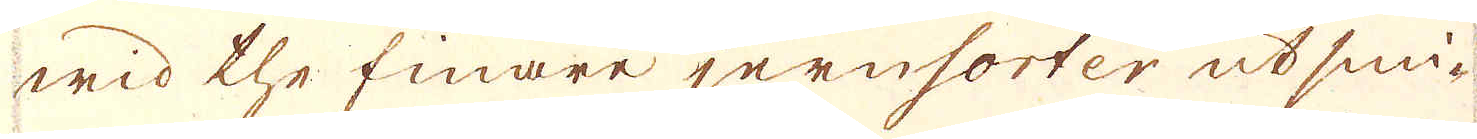wid the finare jernsorter utsmi-
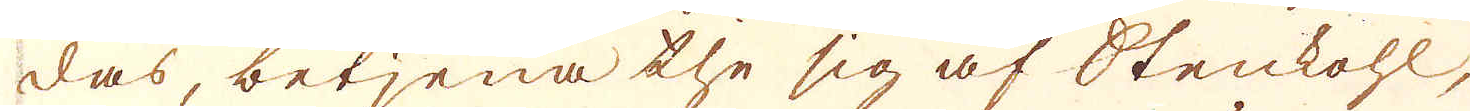das, betjena the sig af Stenkohl,
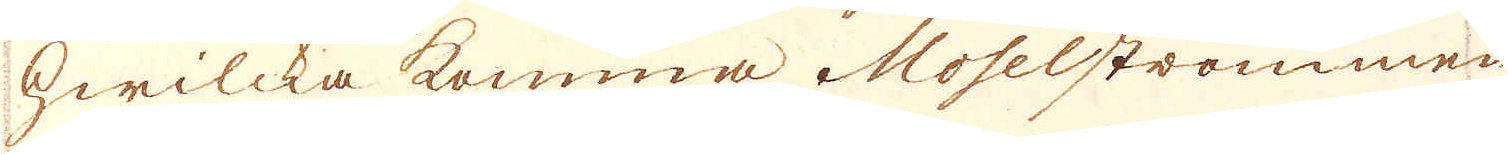hwilcka komma Moselströmmen
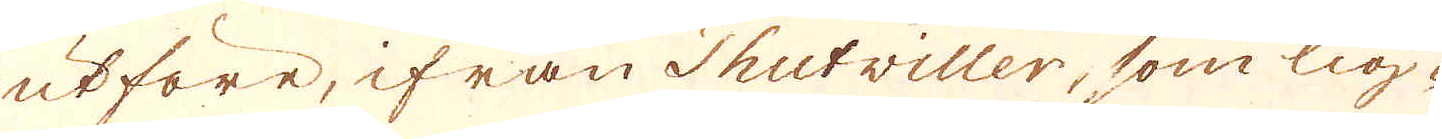utföre, ifrån Thutviller, som lig-
